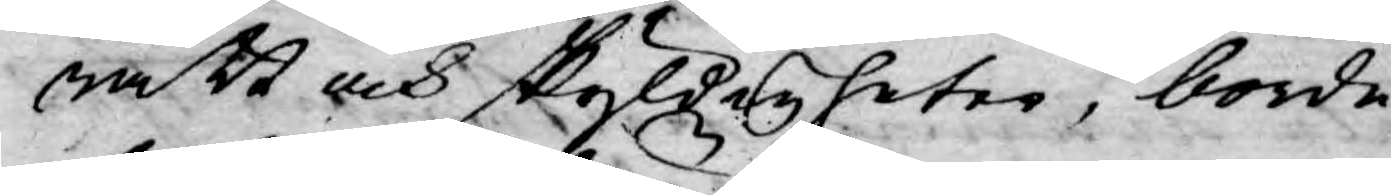rätt och skyldigheter, borde
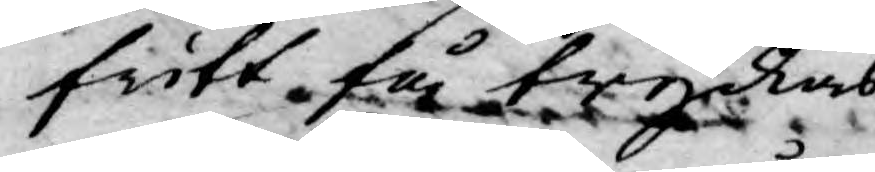fritt få tryckas.
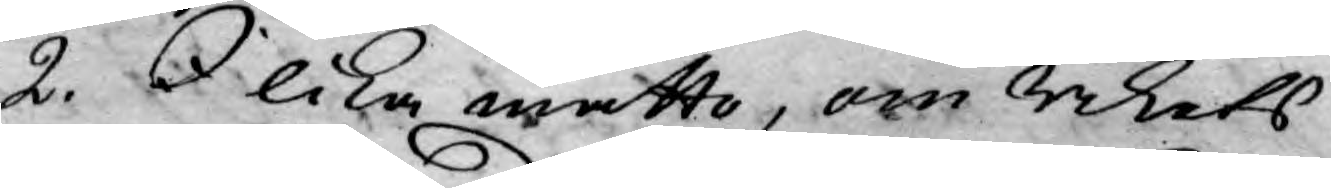2. I lika måtto, om Rikets
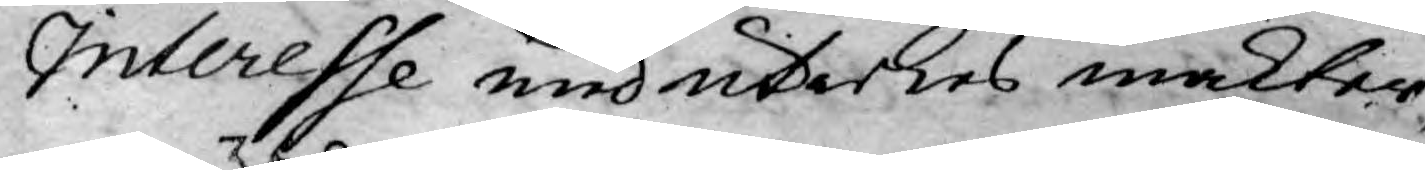Interesse med utrikes makter,
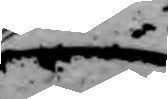så
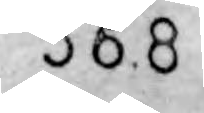368
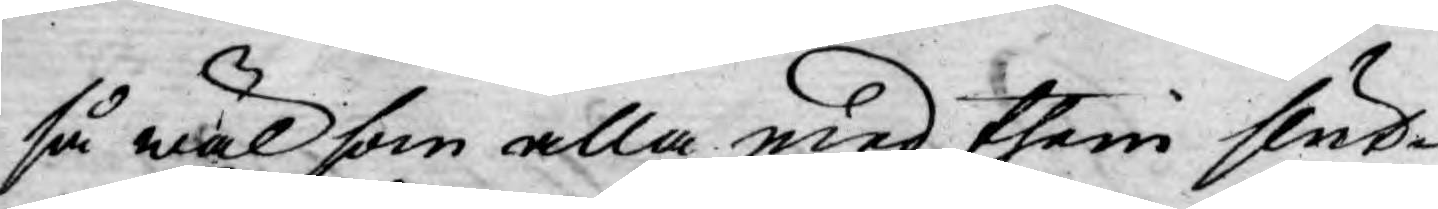så wäl som alla med them slut¬
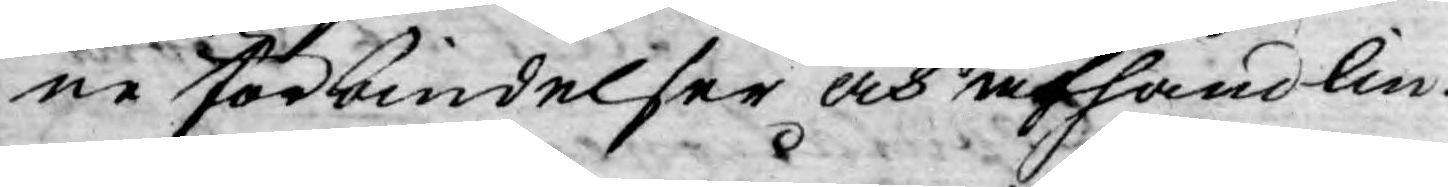ne förbindelser och afhandlin¬
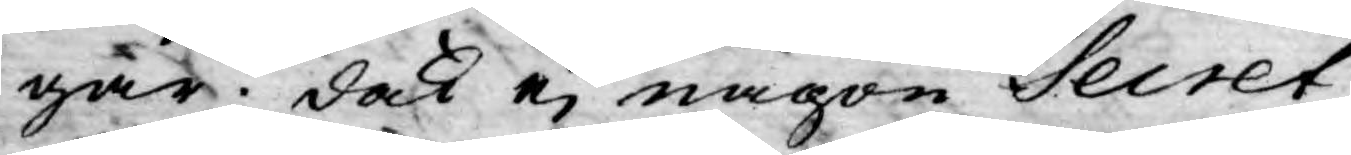gar; dock ej någon Secret
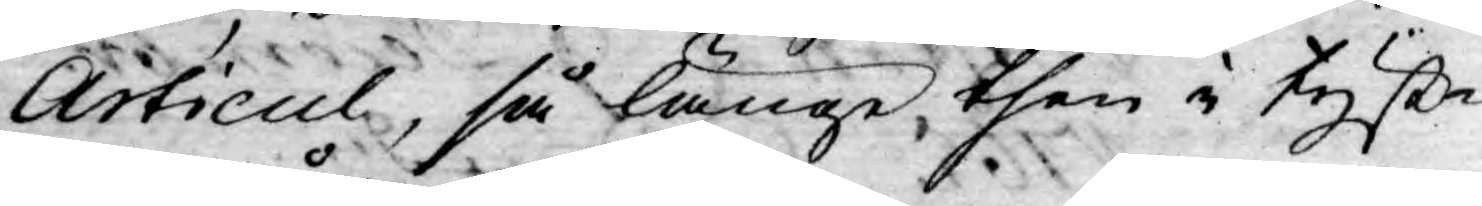Articul, så länge then i tyst¬
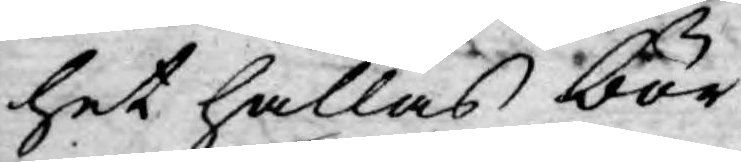het hållas bör.
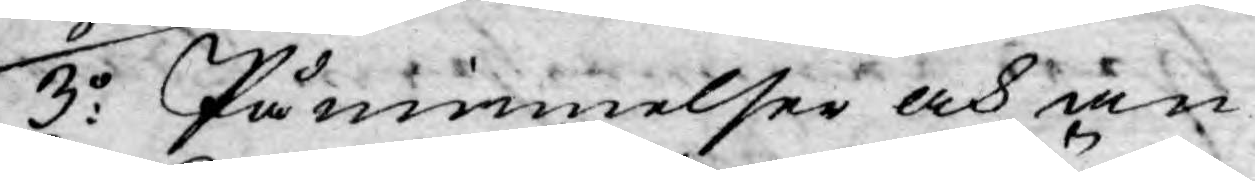3:o Påminnelser och an¬
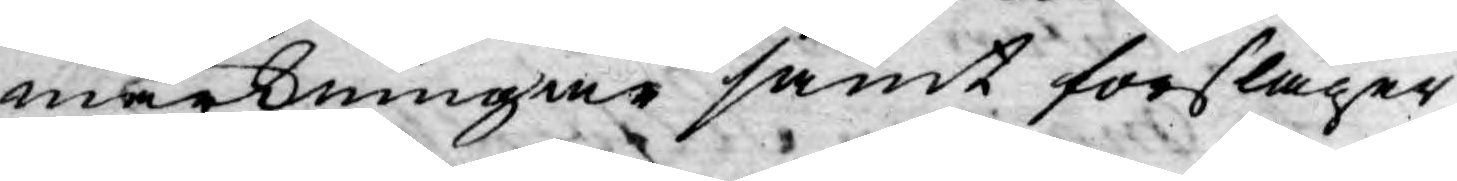märkningar samt förslager,
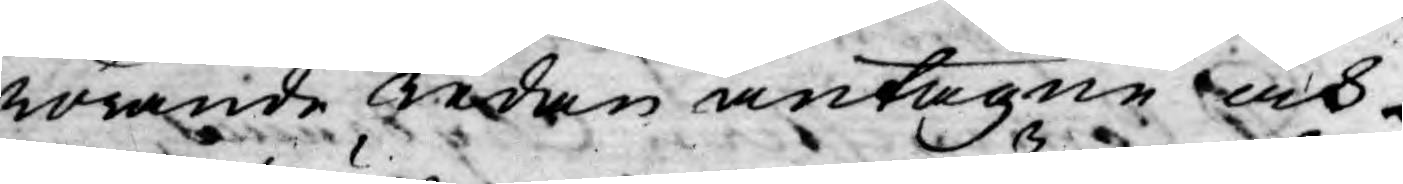rörande redan antagne och
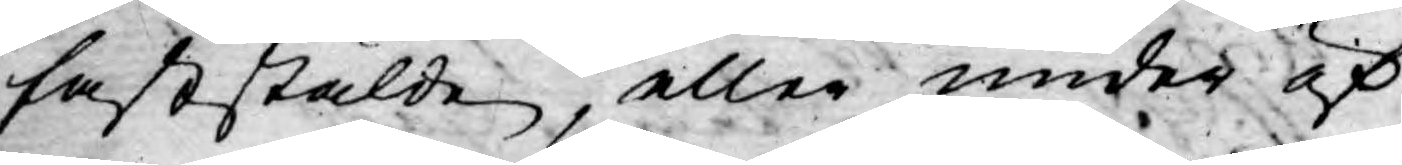faststälde, eller under öf¬
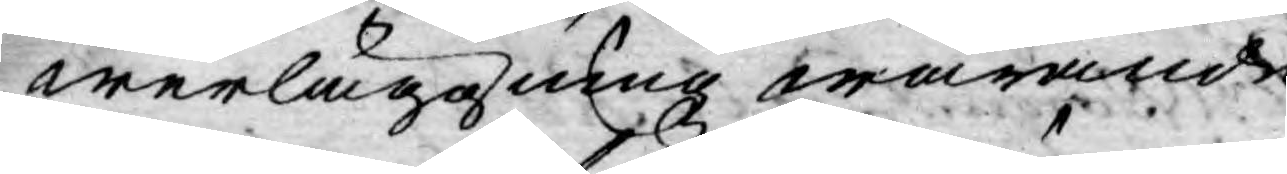werläggning warande
